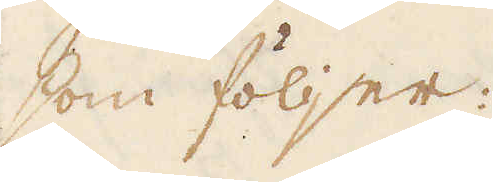som följer:
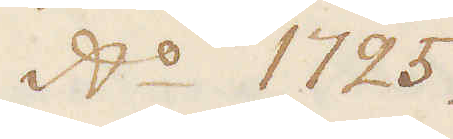A:o 1725.
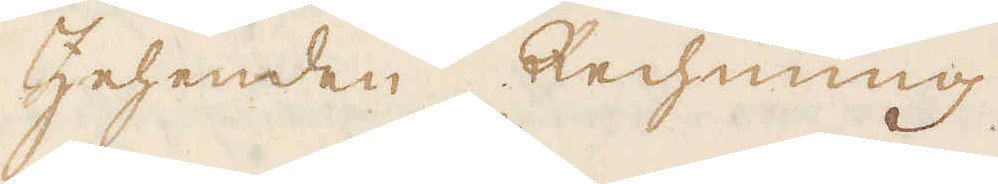Zehenden Rechnung.
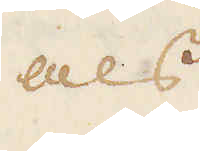als
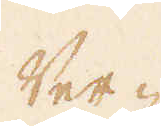Ver-
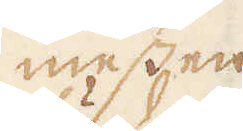messen
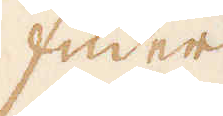fuder
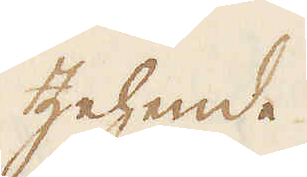Zehende
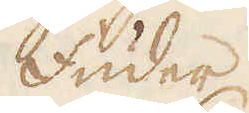fuder
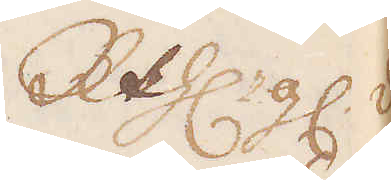R:thlr gl. d.
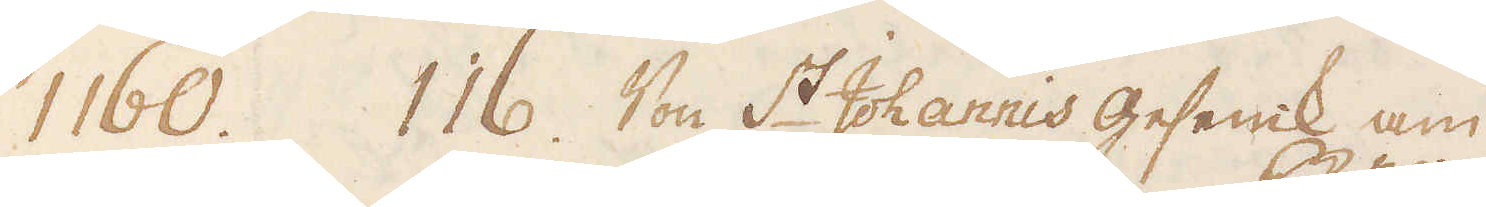1160. 116. Von S:t Johannis geseink am
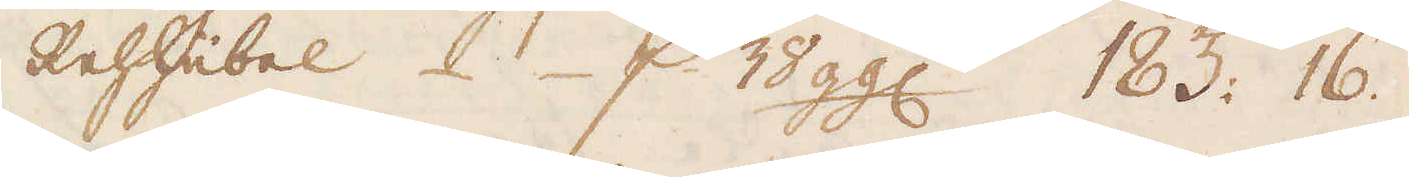Rehhübel. p 38 ggl. 183: 16
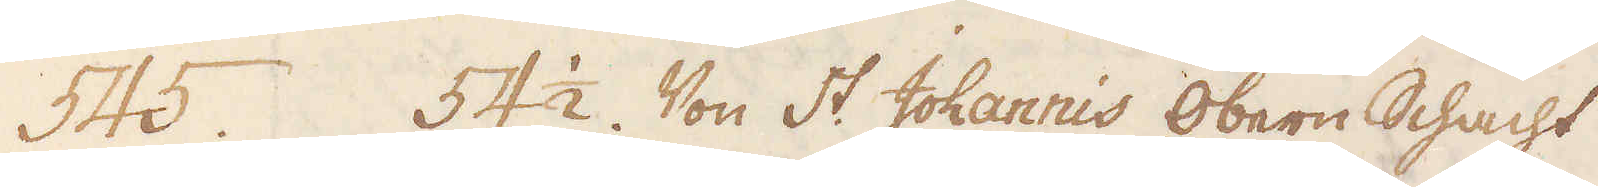545. 54 1/2 Von St. Johannis obern Schacht
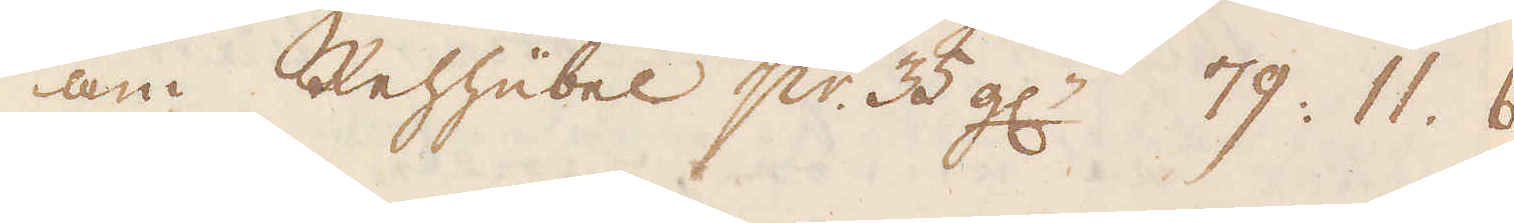am Rehhübel p:r 35 gl:n 79: 11. 6.
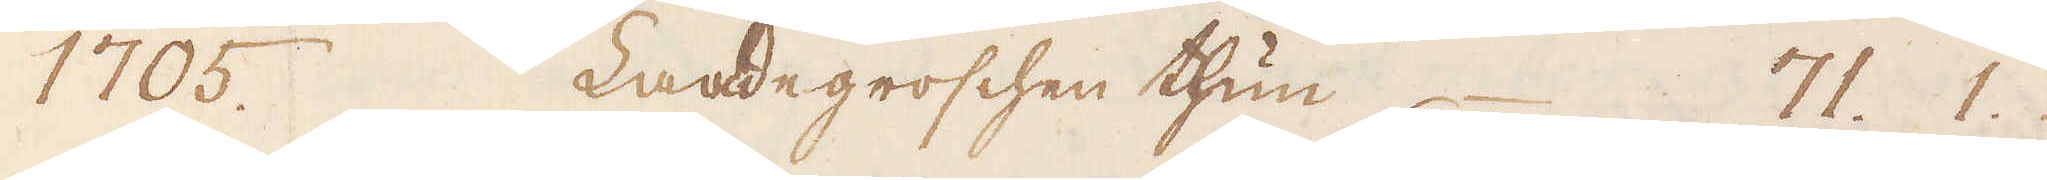1705. Laadegroschen thun 71. 1.
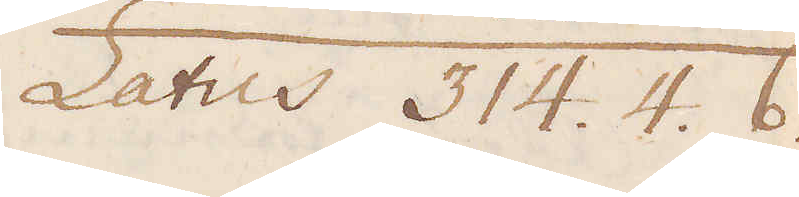Latus 314. 4. 6.
